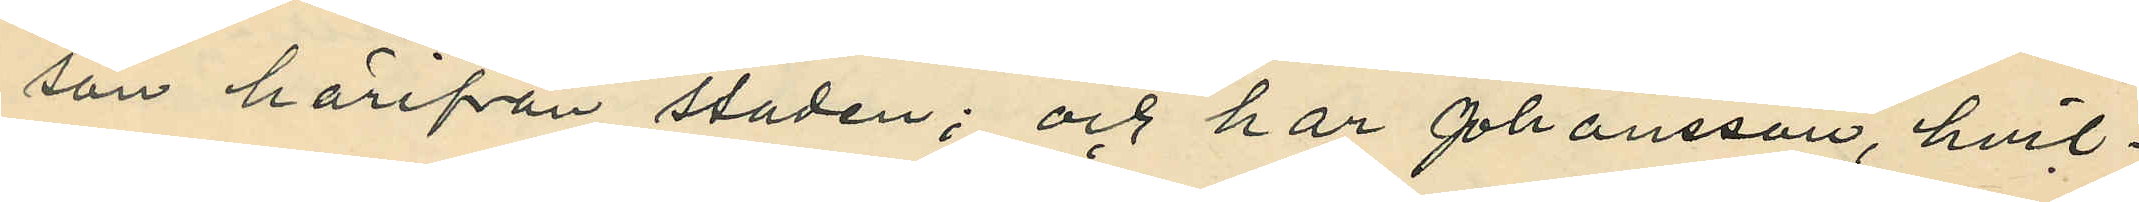son härifrån staden; och har Johansson, hvil¬
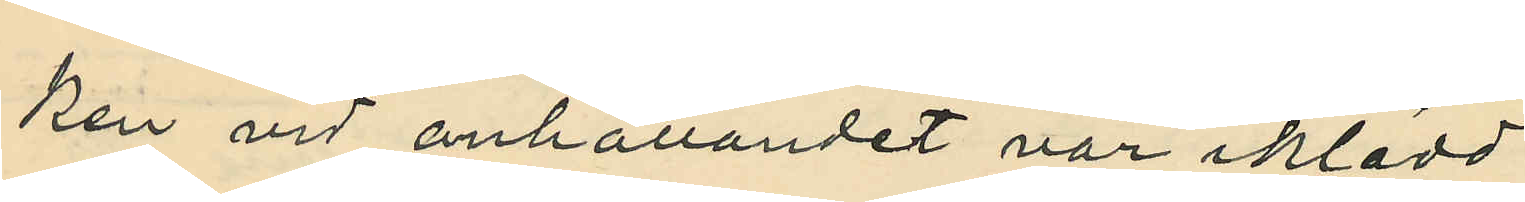ken vid anhållandet var iklädd
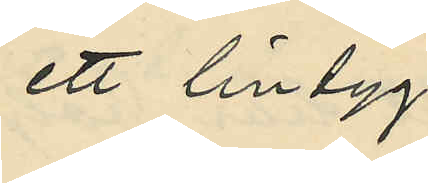ett lintyg
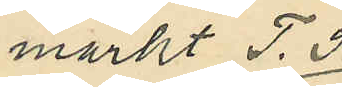märkt T. S.
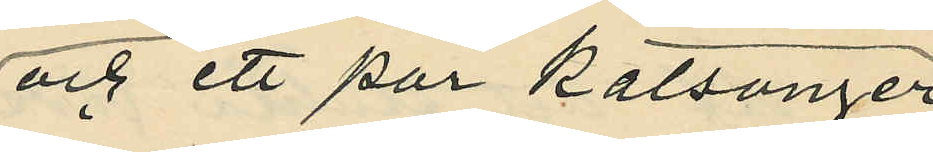och ett par kalsonger
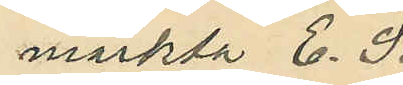märkta E. S.
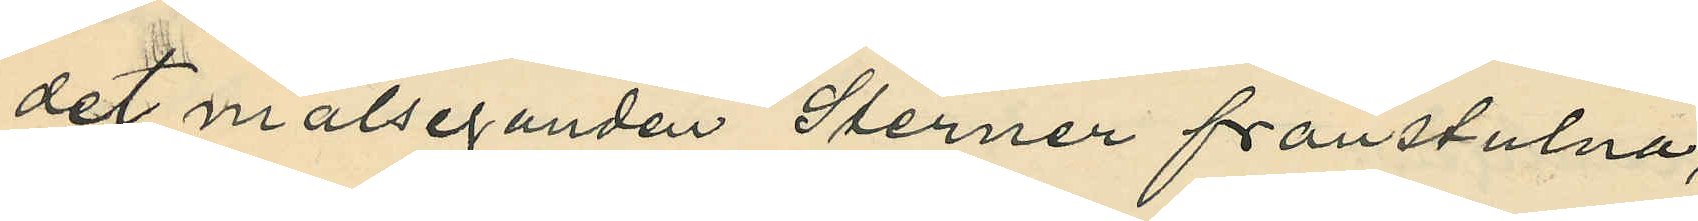det målseganden Sterner frånstulna,
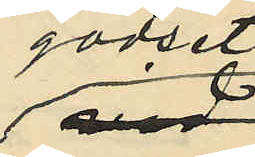godset
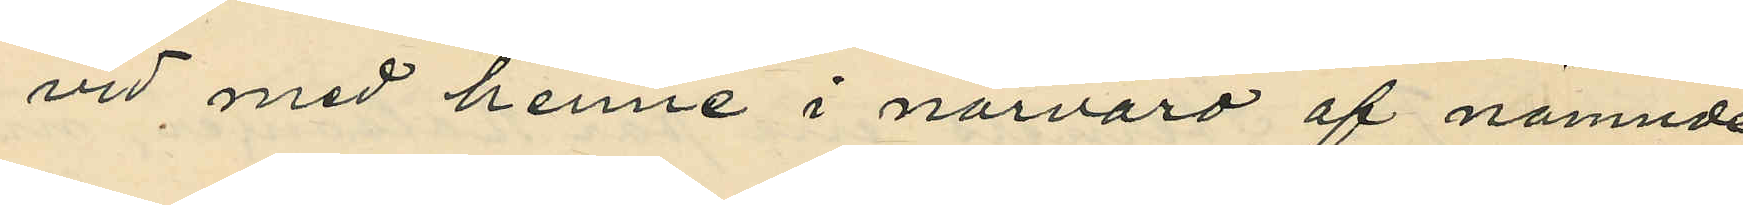vid med henne i närvaro af nämnde
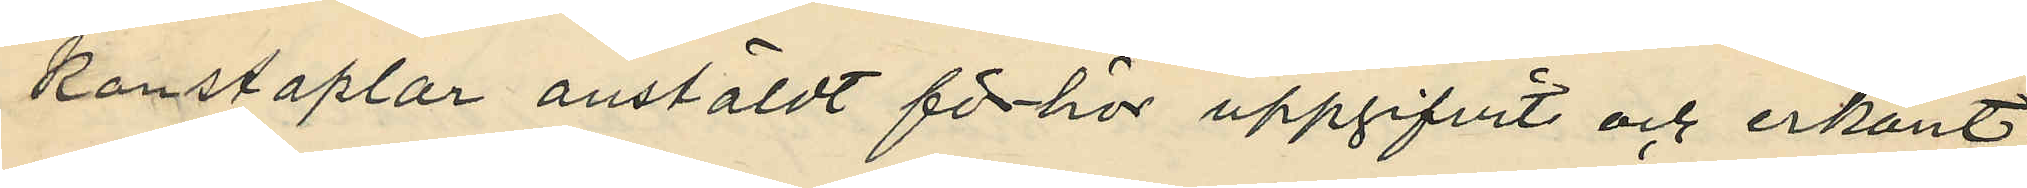konstaplar anstäldt förhör uppgifvit och erkänt:
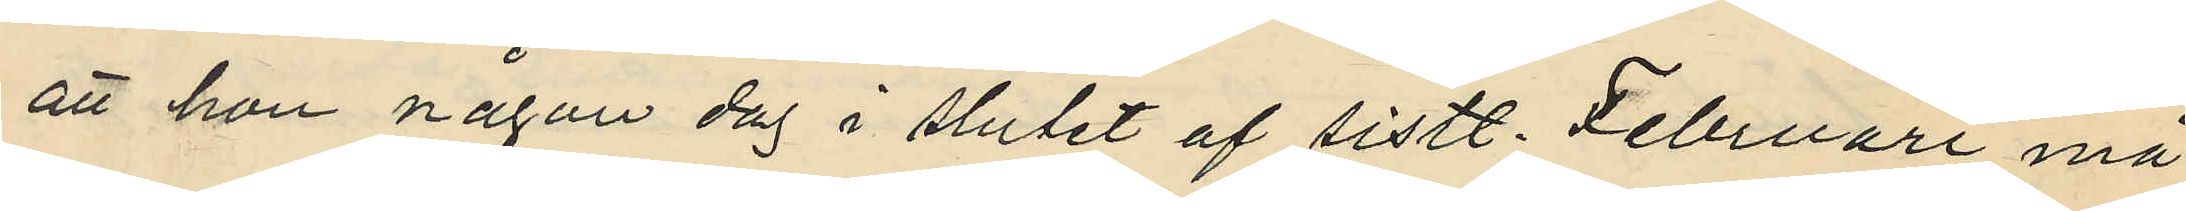att hon någon dag i slutet af sistl. Februari må¬
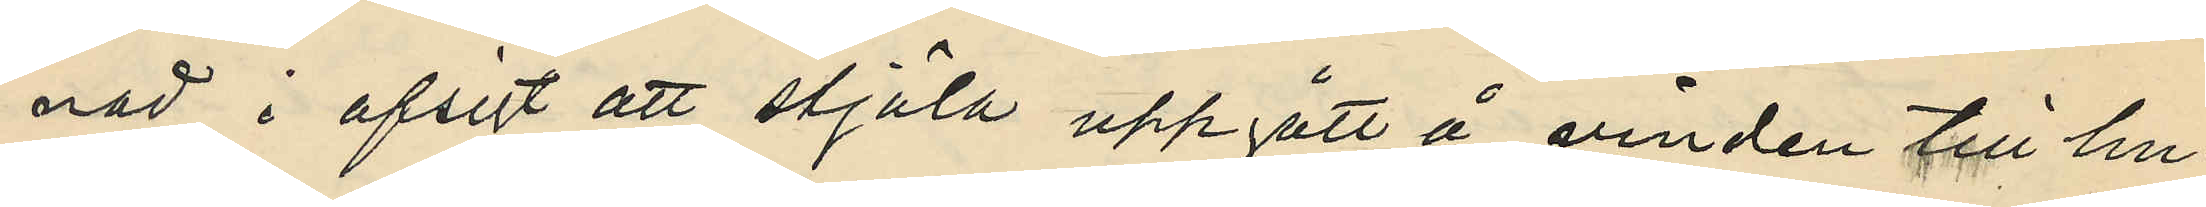nad i afsigt att stjäla uppgått å vinden till hu¬
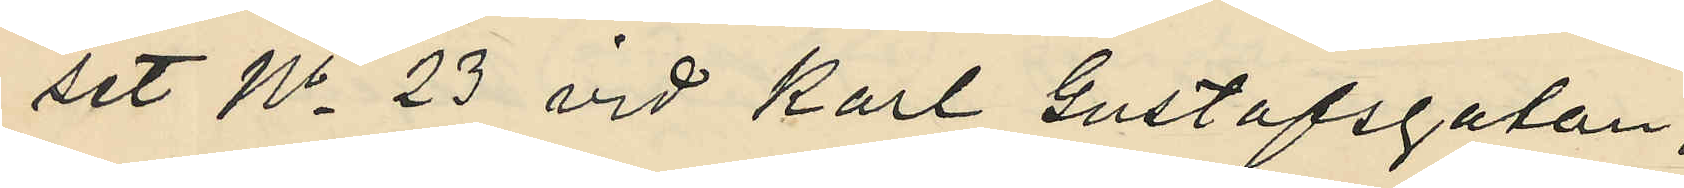set No 23 vid Karl Gustafsgatan;
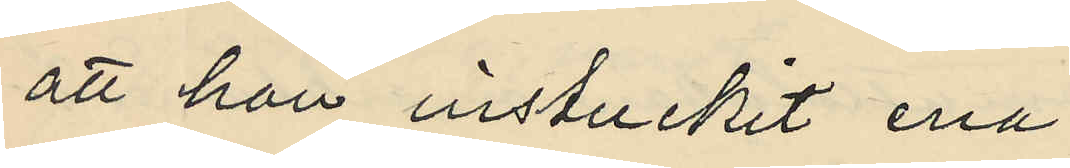att han instuckit ena
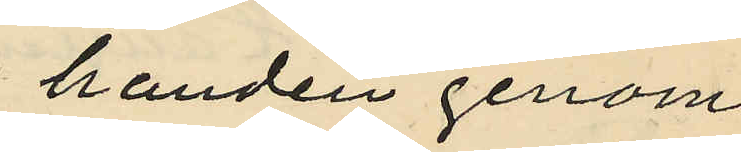handen genom
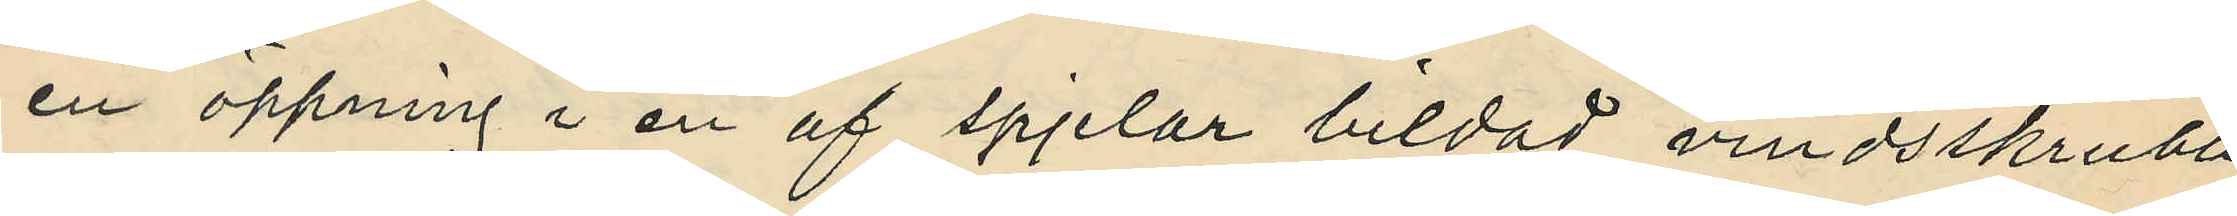en öppning i en af spjelor bildad vindsskrubb
